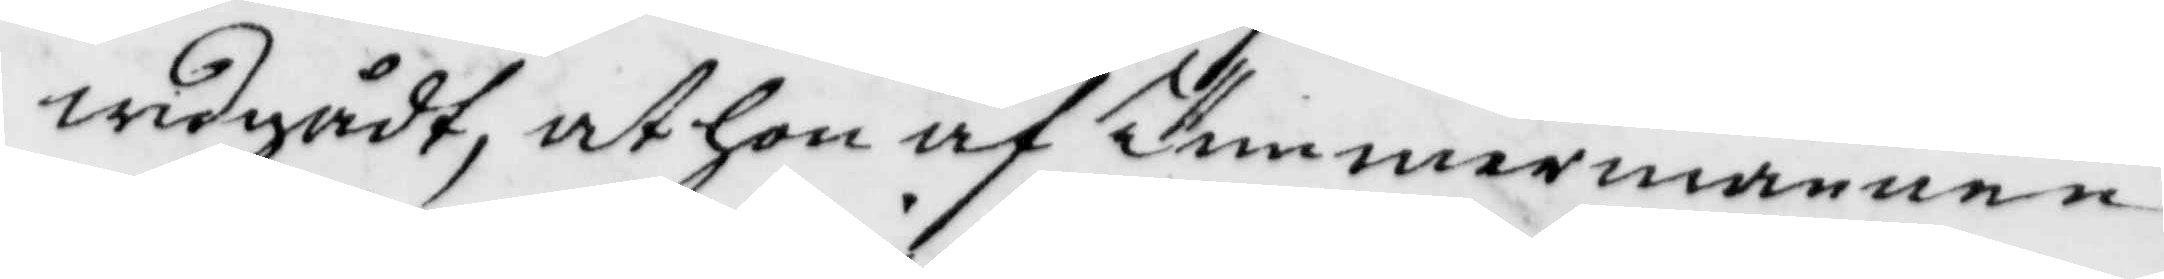widgådt, at hon af Timmermannen
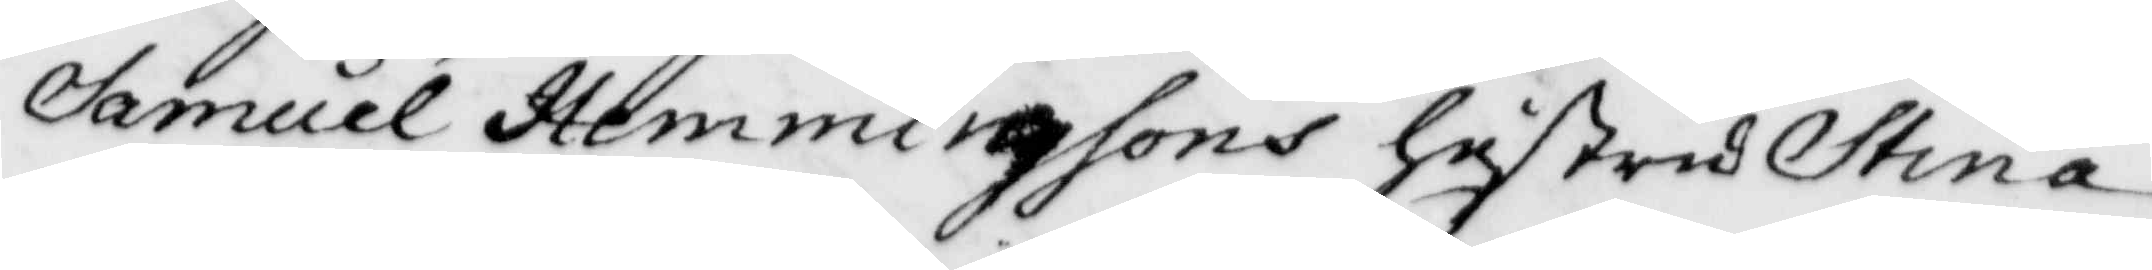Samuel Hemmingssons hustru Stina
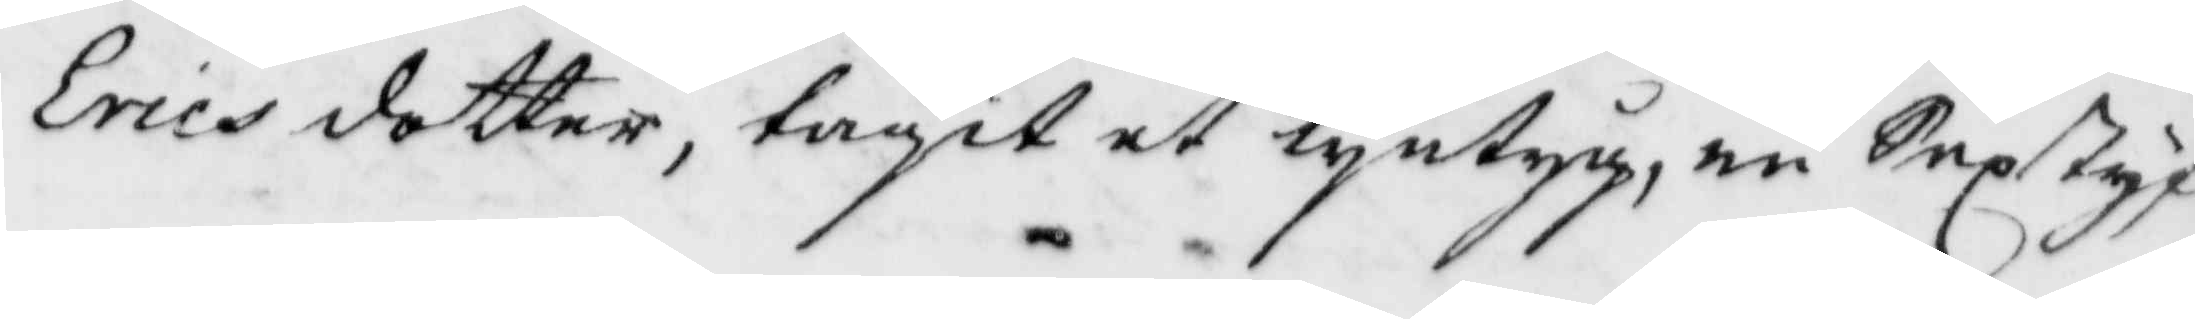Ericsdotter, tagit et lintyg, en Sexstyf¬
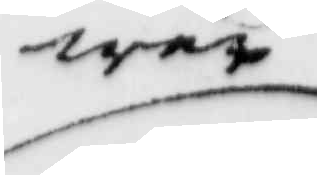wer
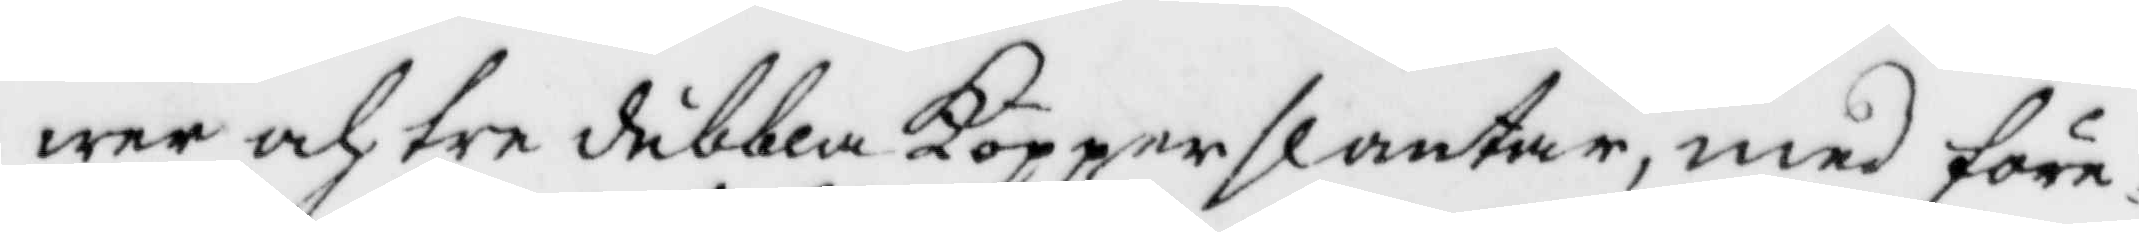wer och tre dubbla Kopparslantar, med före¬
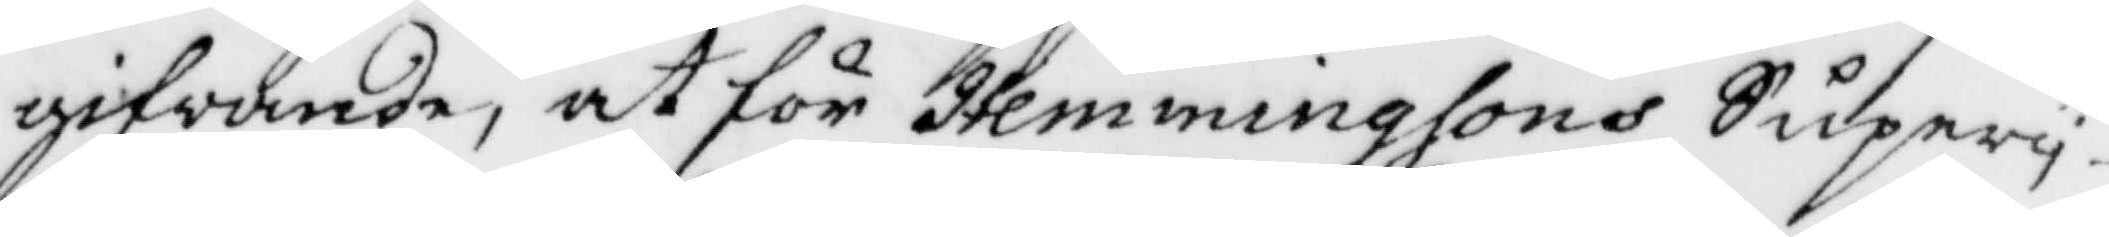gifwande, at för Hemmingssons Supery
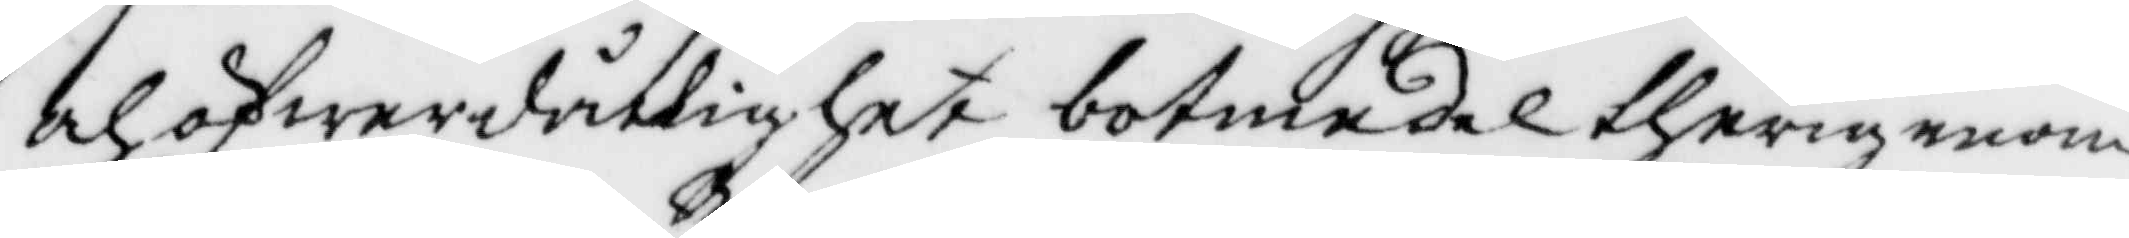och öfwerdådighet botmedel therigenom
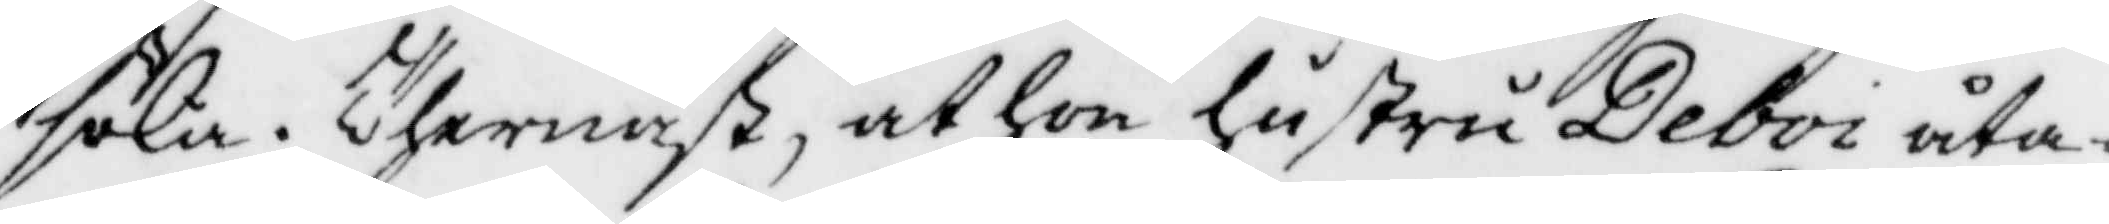söka, Thernäst at hon hustru Deboi åta¬
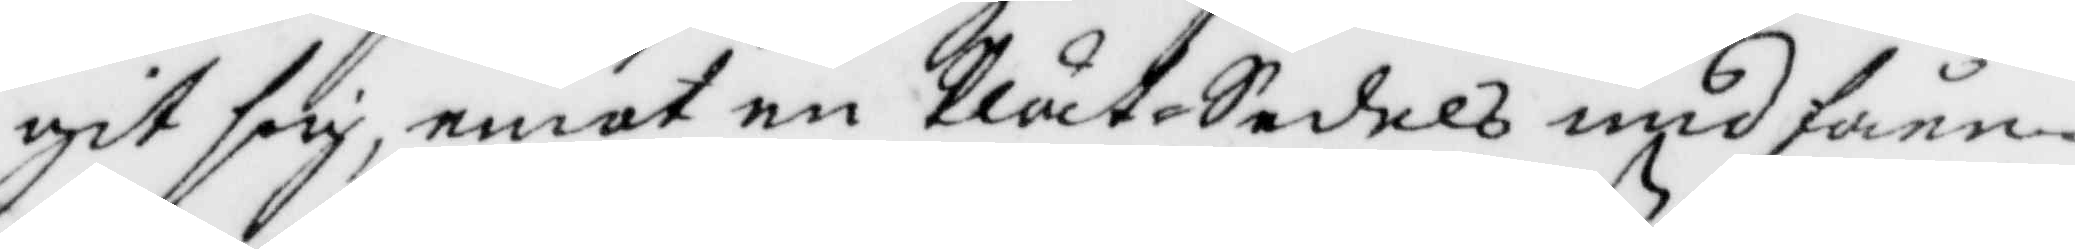git sig, emot en plåtSedel undfånn¬
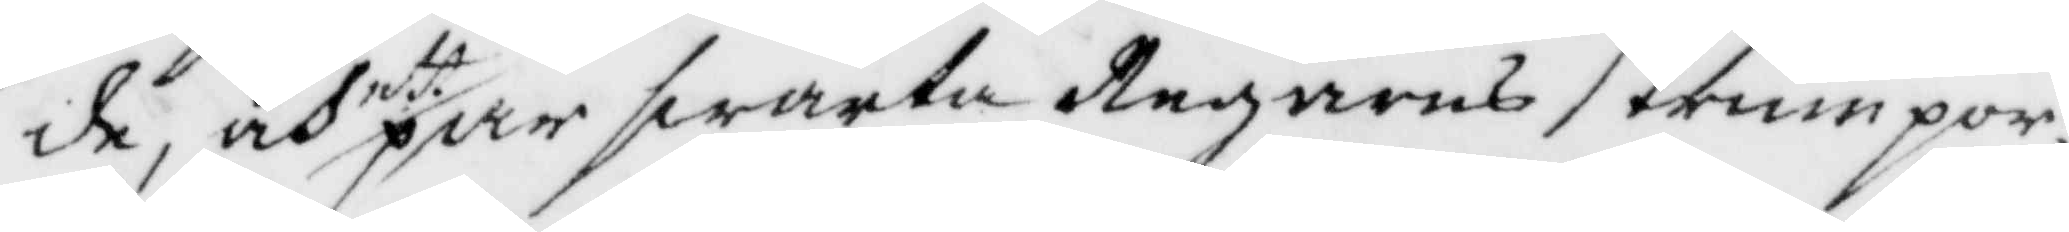de, och ett par swarta Regarns strumpor,
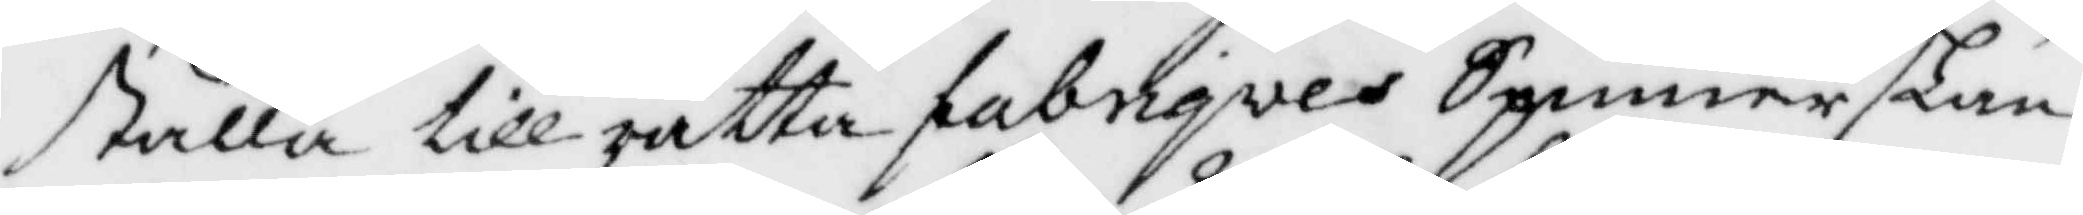skulle till rätta fabrigves Spinnerskan
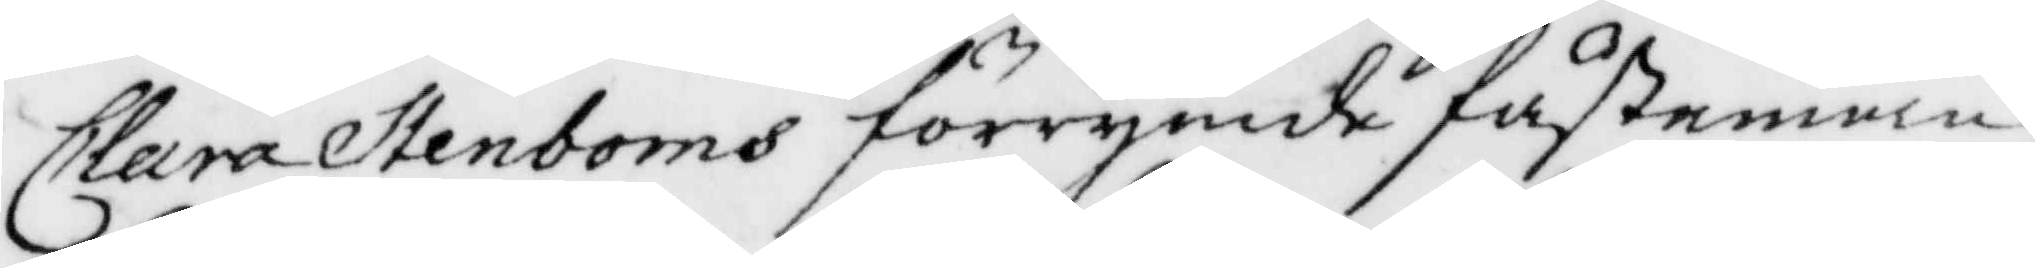Clara Stenboms förrymde fästman,
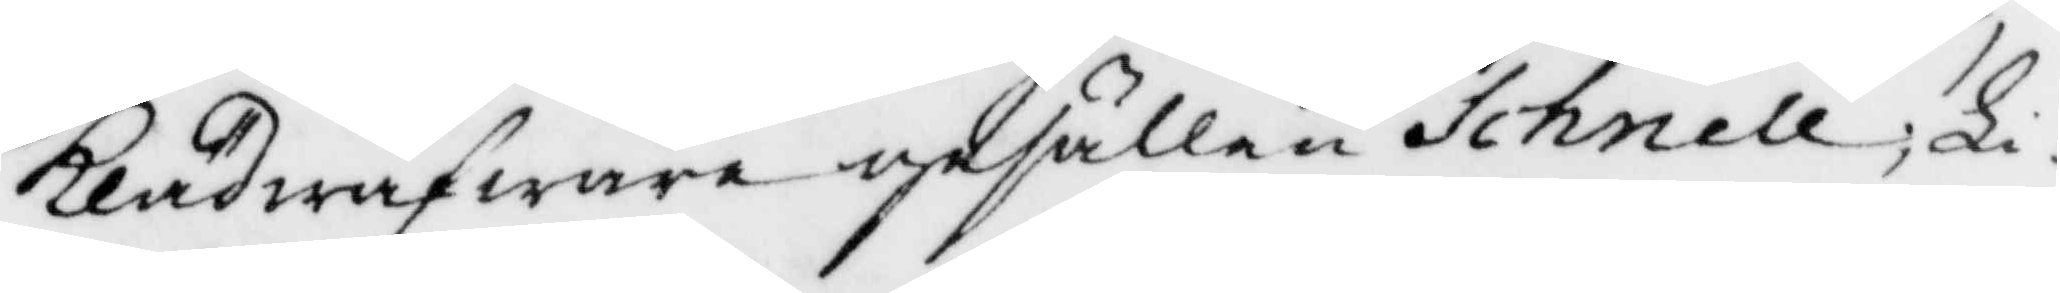Klädwäfware gesällen Schnell; Li¬ 
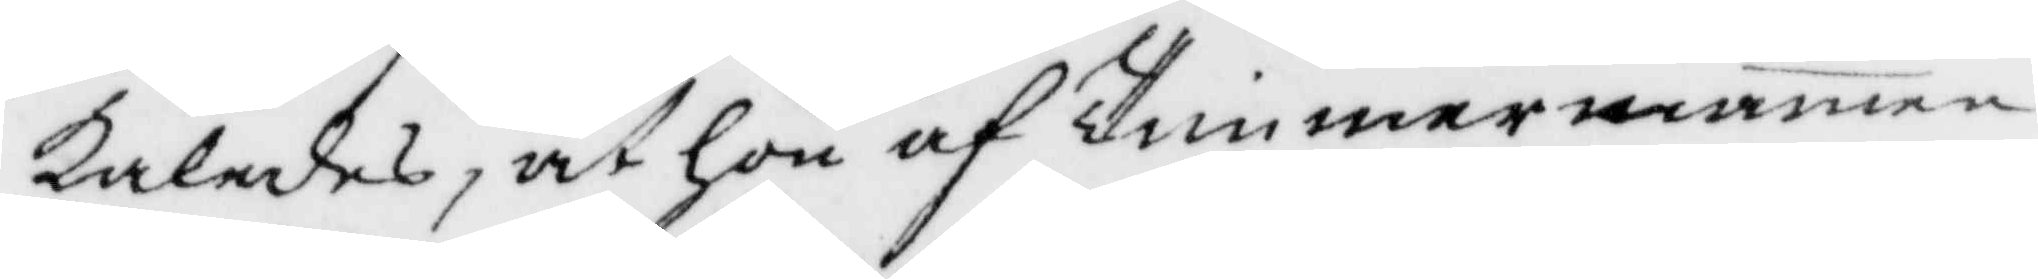kaledes, at hon af Timmermannen
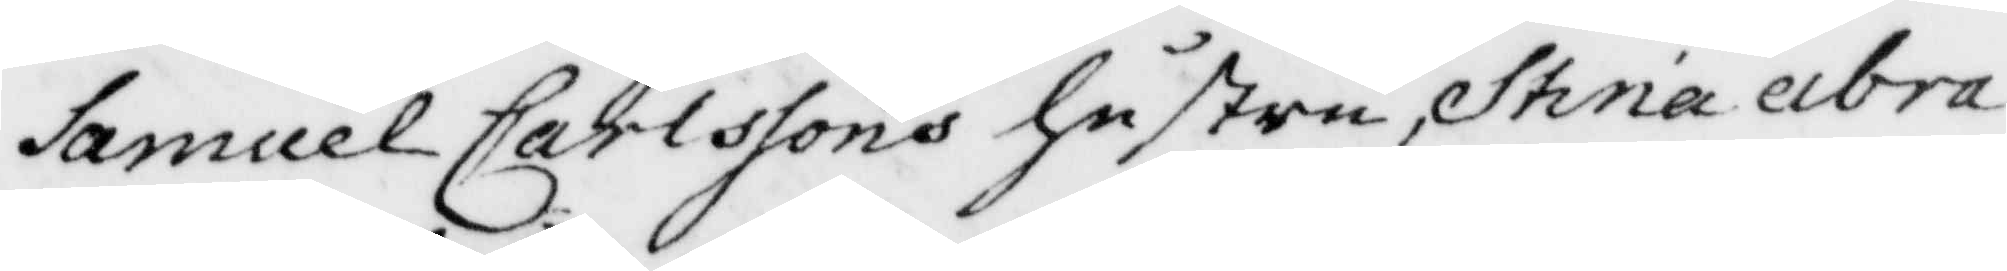Samuel Carlssons hustru Stina abra¬
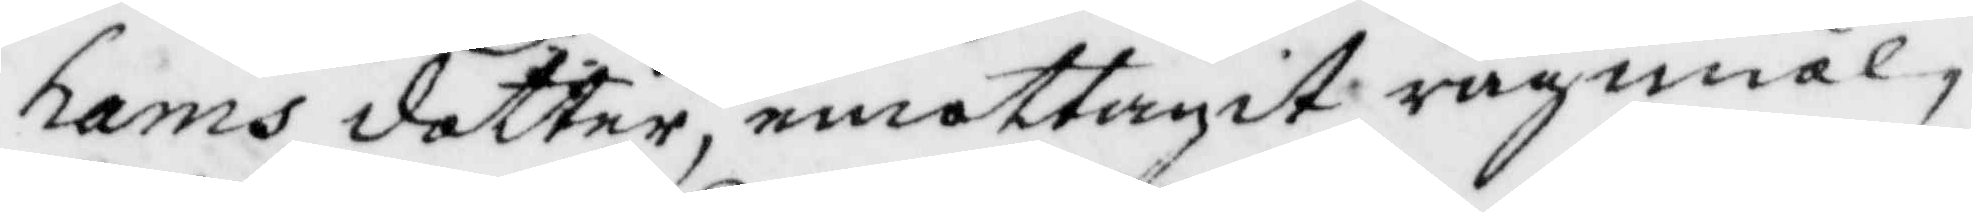hams dotter, emottagit rågmiöl,
